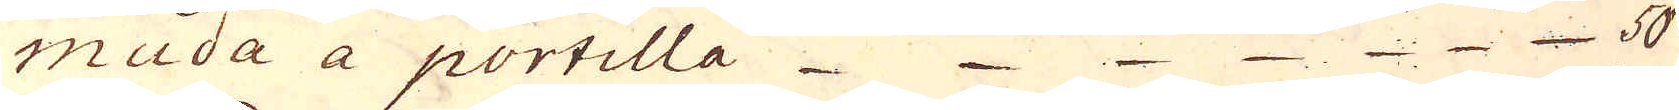muda a portilla 50
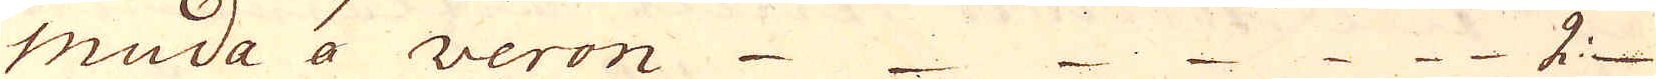muda a veron  2:
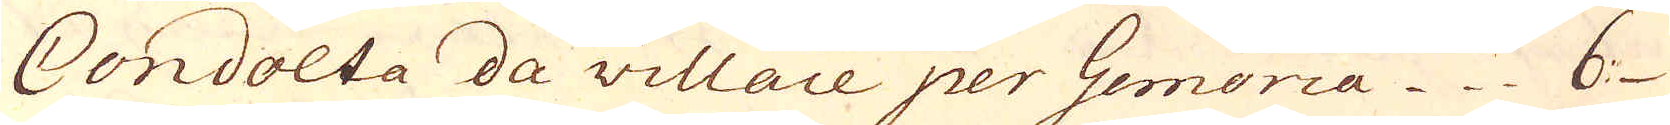Condolta da villace per Gemoria 6
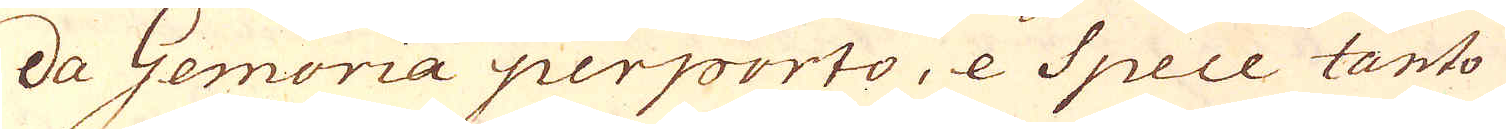da Gemoria perporto, e Spece tanto
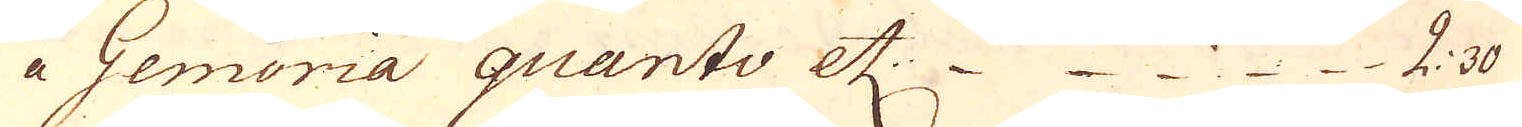a Gemoria quanto etc 2: 30
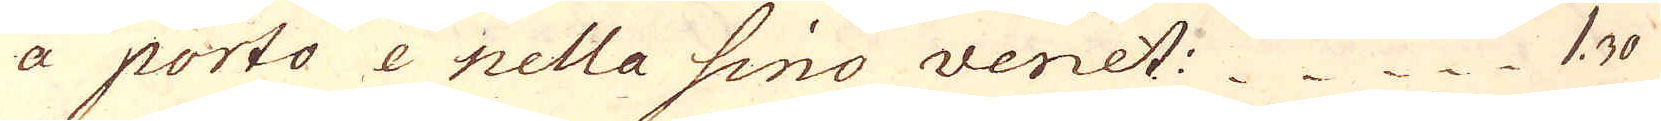a porto e nella sino venet: 1. 30
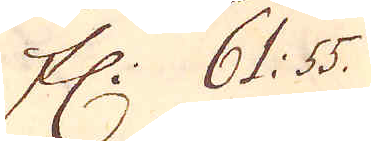Fl: 61: 55.
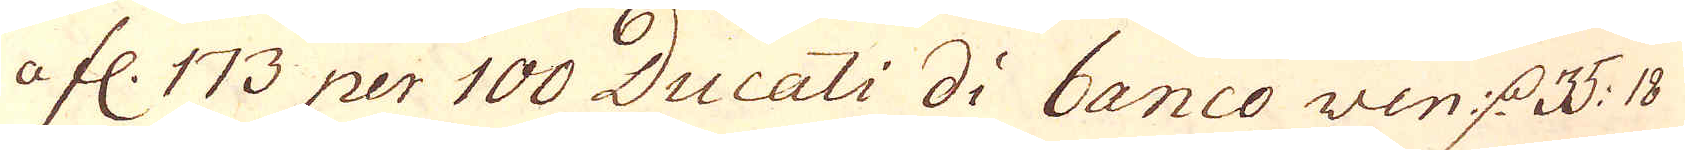a fl. 173 per 100 Ducati di banco ven d. 35: 18
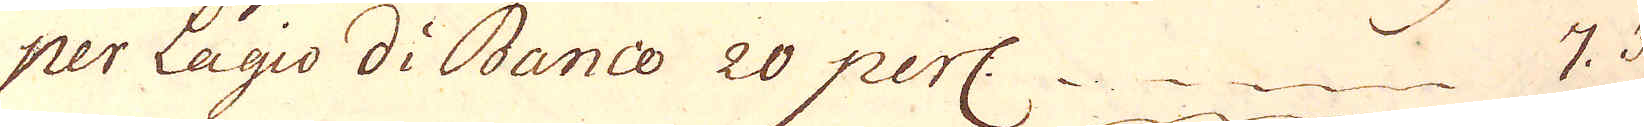per Lagio di Banco 20 perc. 7. 3
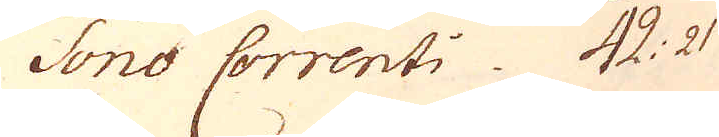sono Correnti 42: 21
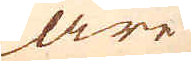äre
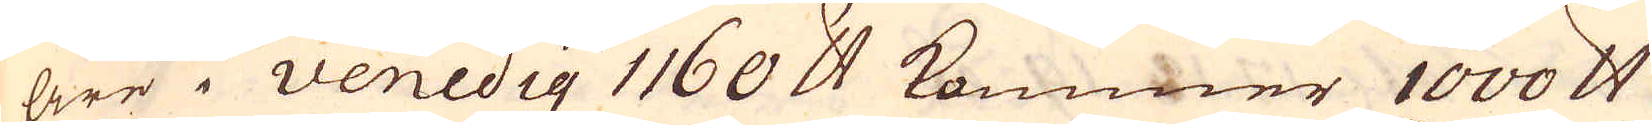äre i Venedig 1160 skålpund kommer 1000 skålpund
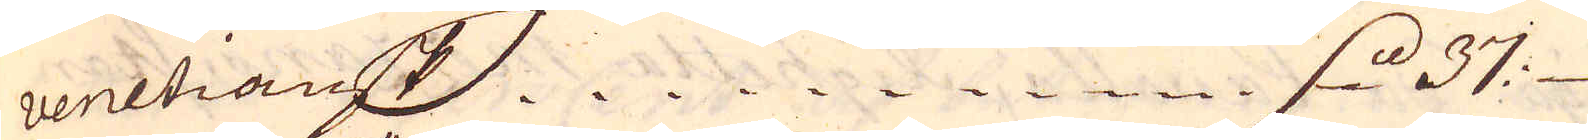venetiansk  d. 37
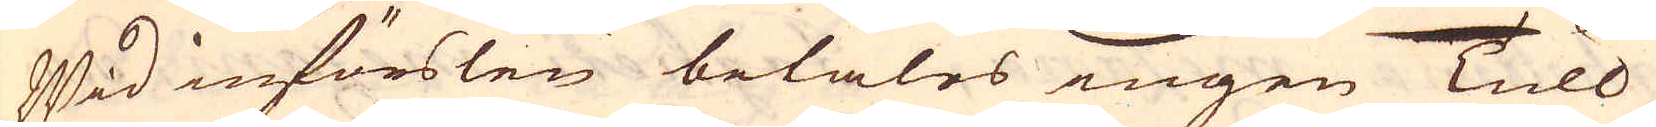Wid införslen betales ingen Tull
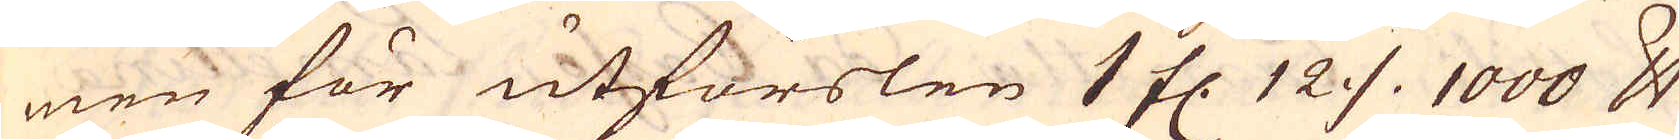men för utförslen 1 fl. 12 % 1000 skålpund
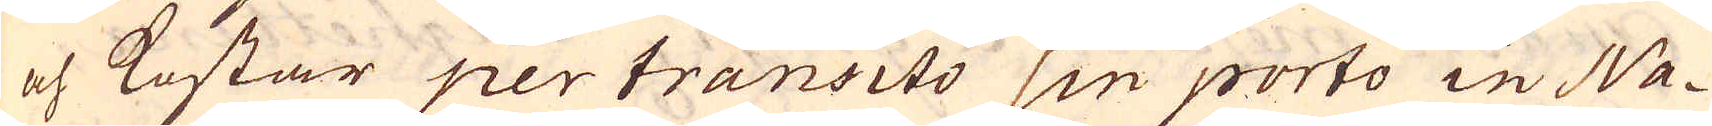och kostar per transito sin porto in Na-
